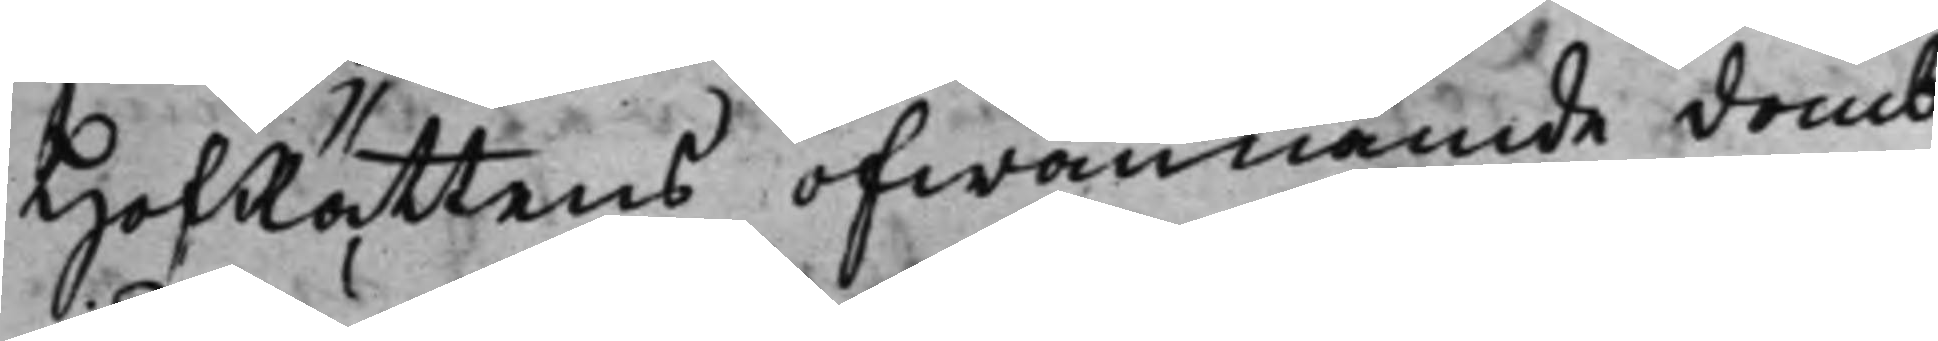HofRättens ofwannämde domb
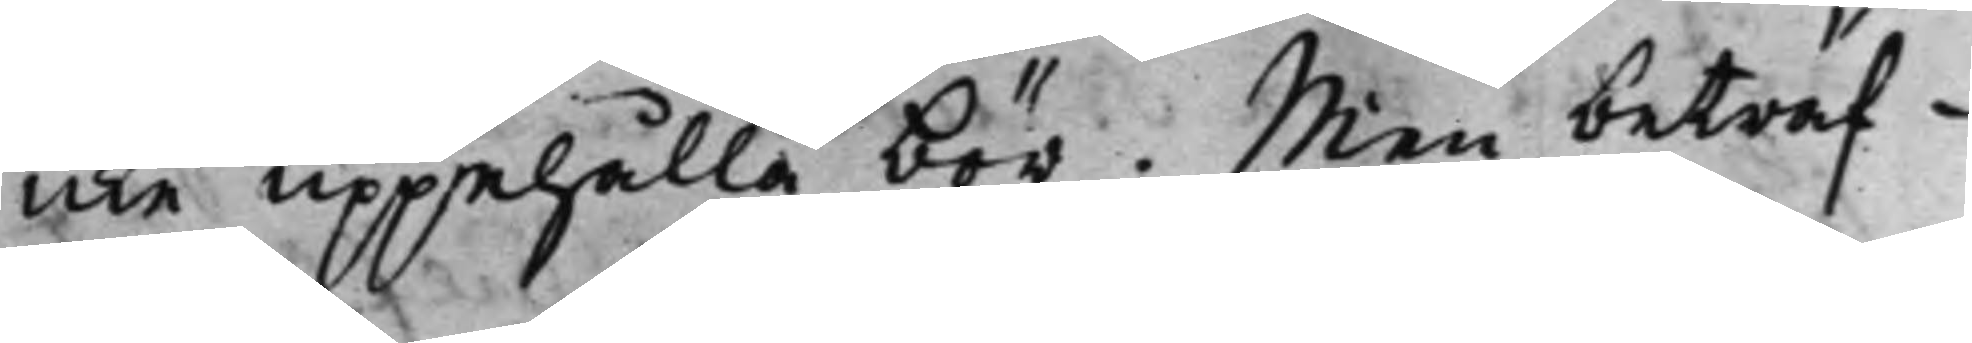icke uppehålla bör. Men beträf¬
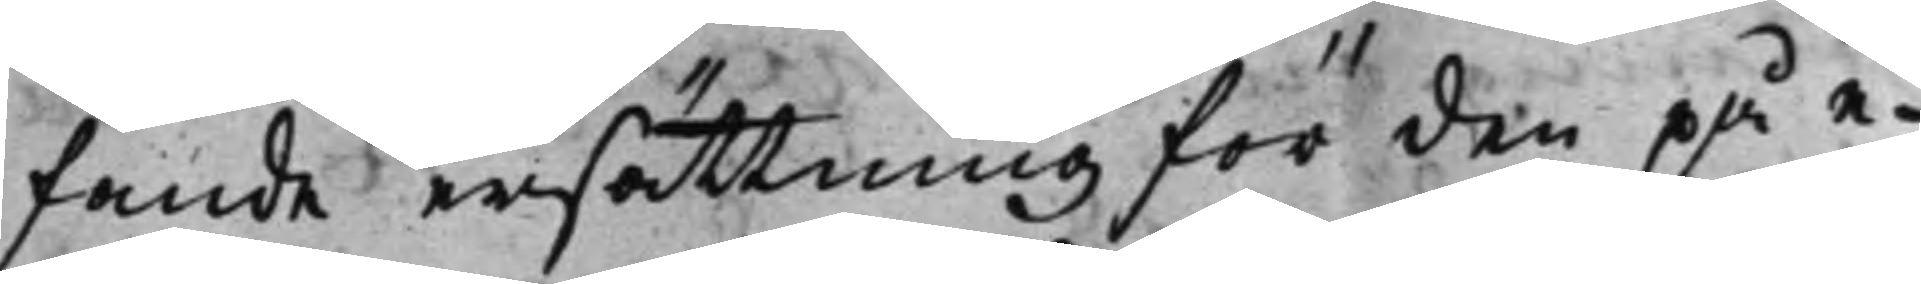fande ersättning för den på e¬
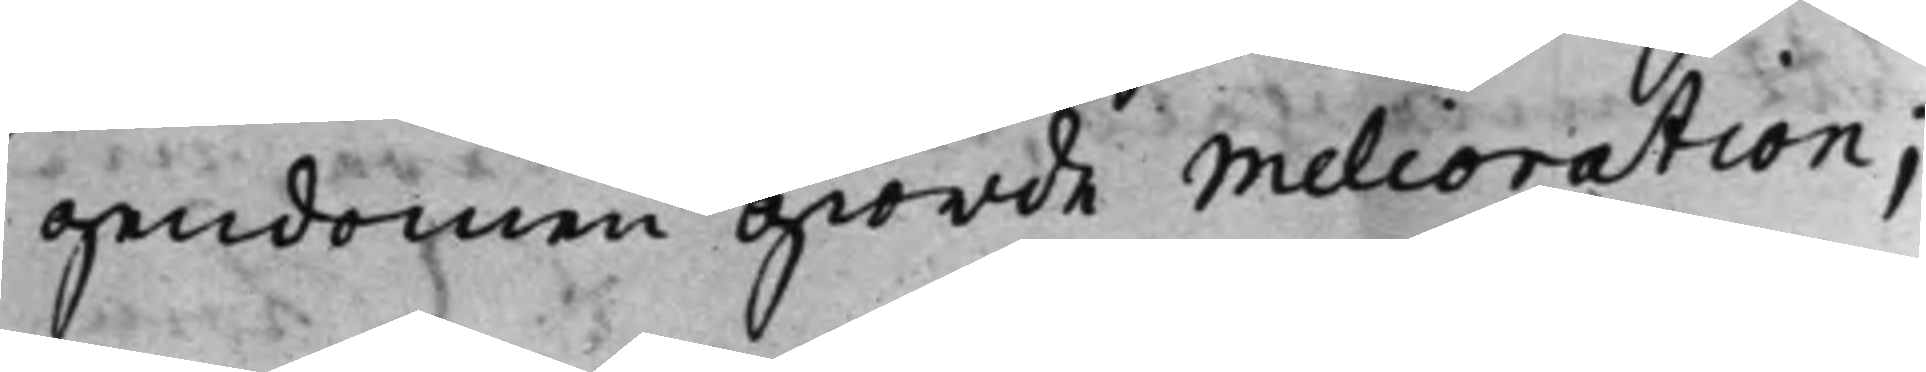gendomen giorde Melioration;
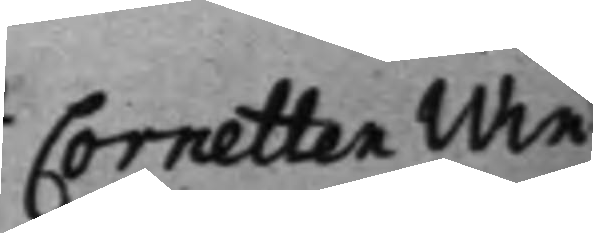Cornetten Win¬
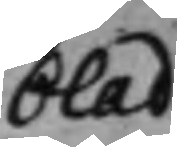blad
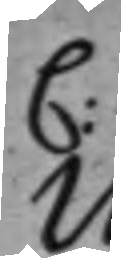C:
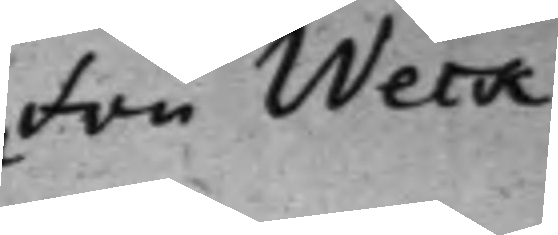Fru Weck
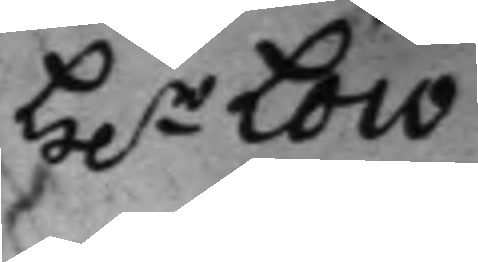 H.r Loco 
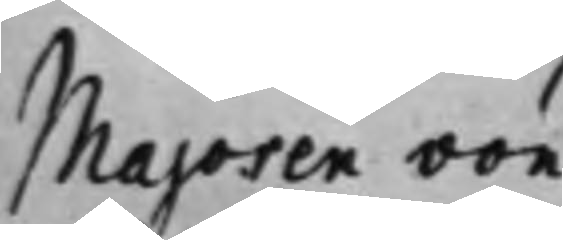Majoren von
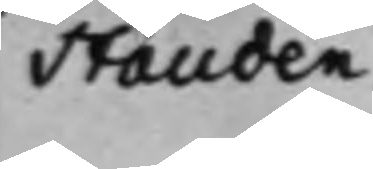Stauden
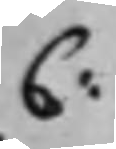C:
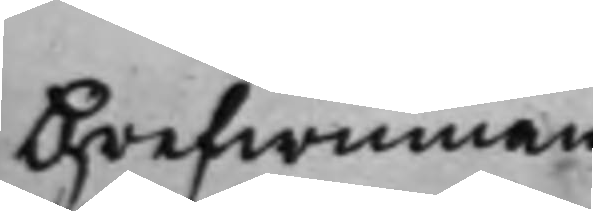Grefwinnan
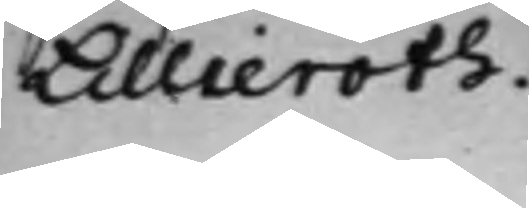Lillieroth.
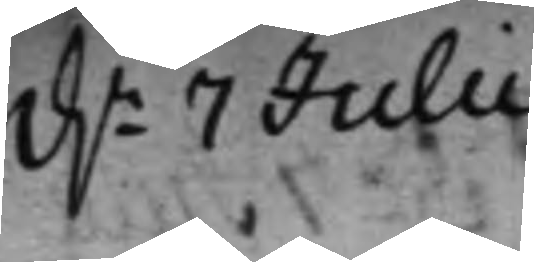d.n 7 Julii
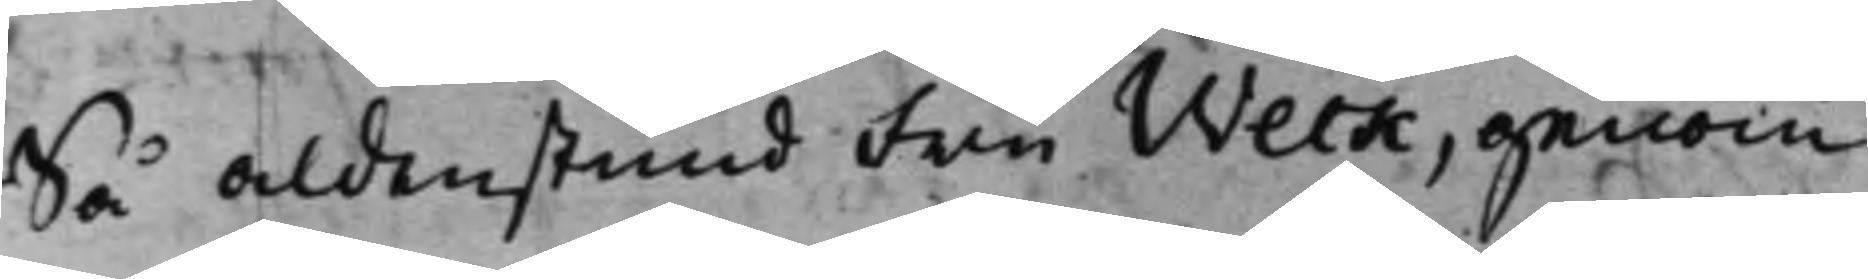Så aldenstund Fru Weck, genom
